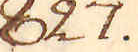827.
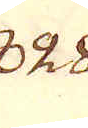828.
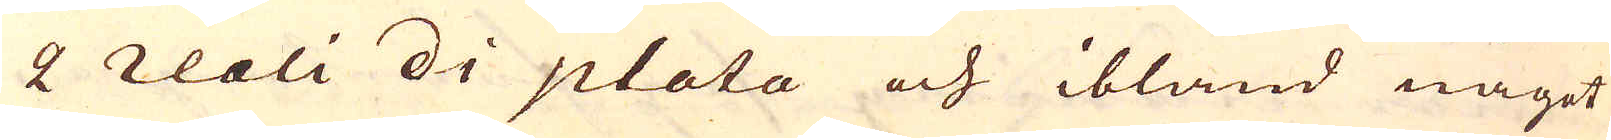2 reali di plata och ibland något
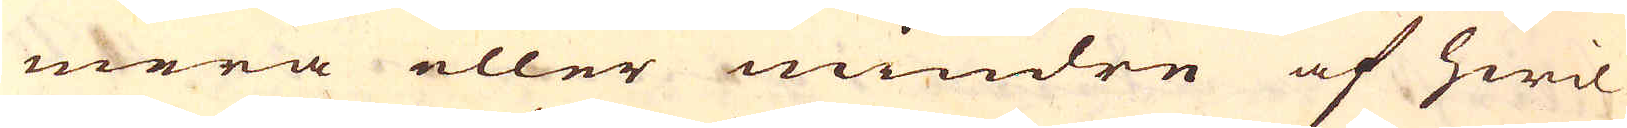mera eller mindre af hwil-
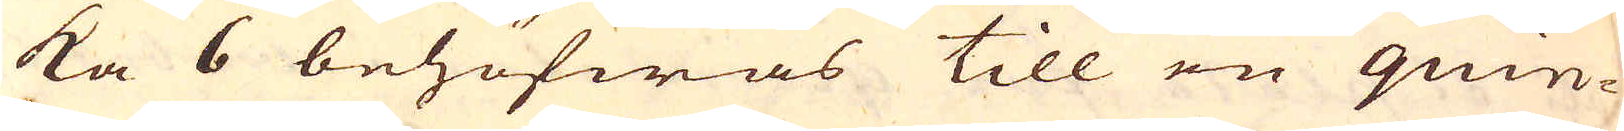ka 6 behöfwas till en quin-
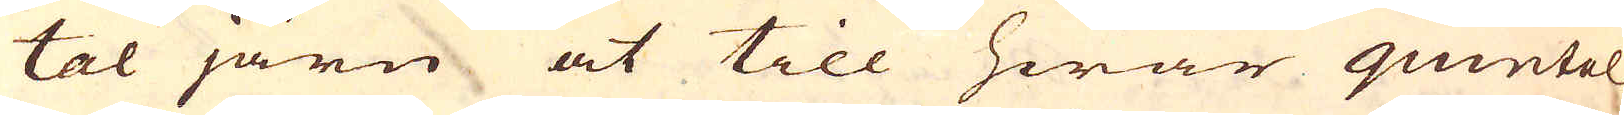tal järn at till hwar quintal
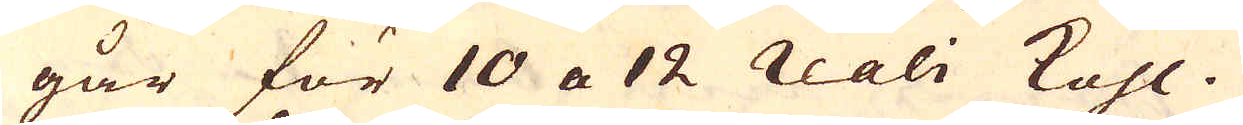går för 10 a 12 reali Kohl.
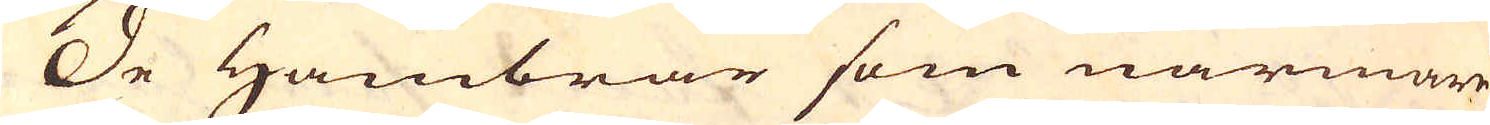De Hambrar som närmare
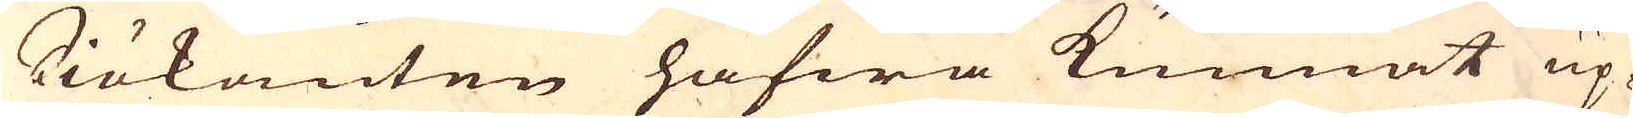Siökanten hafwa kunnat up-
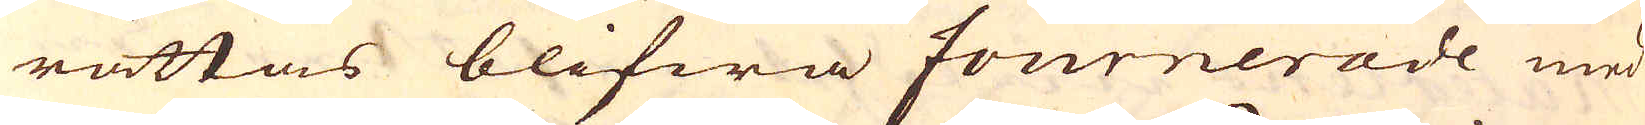rättas blifwa fournerade med
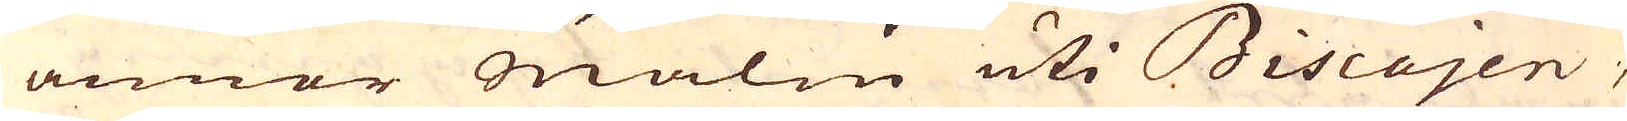annor malm uti Biscajen,
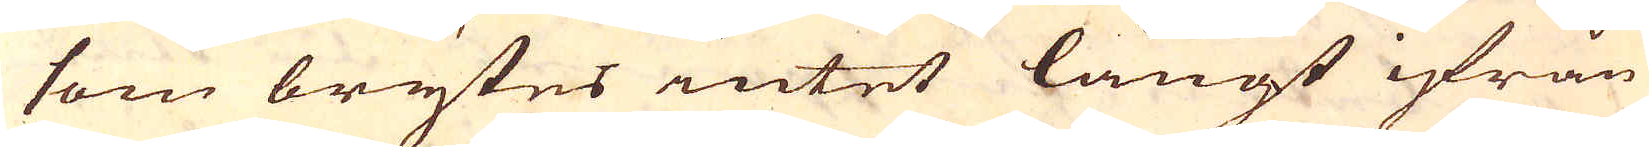som brytes intet långt ifrån
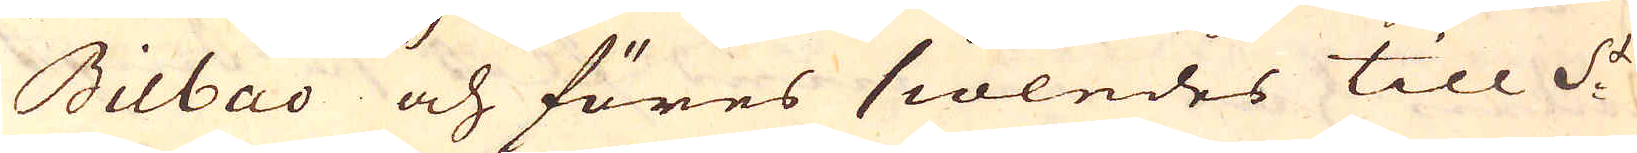Bilbao och föres siöledes till S:t
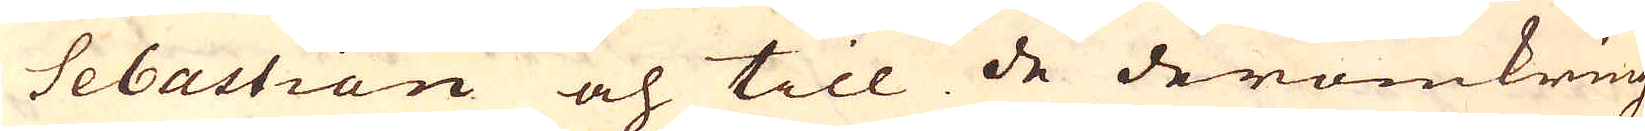Sebastian och till de deromkring
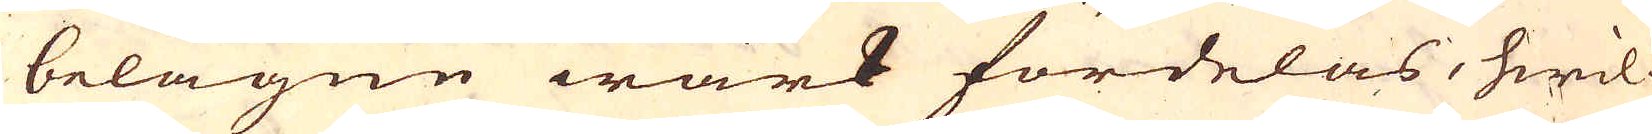belägne wärk fördelas, hwil-
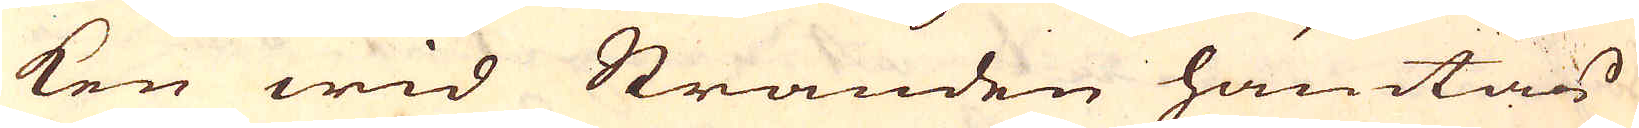ken wid Stranden hämtas
